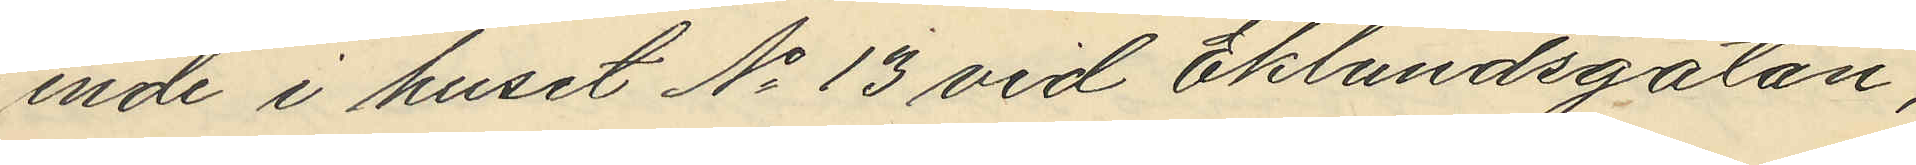ende i huset No 13 vid Eklundsgatan,
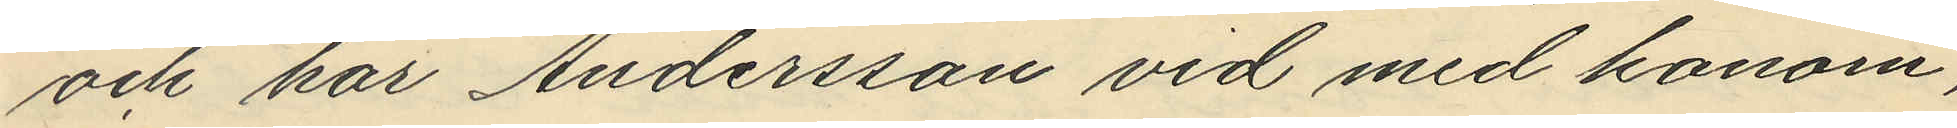och har Andersson vid med honom,
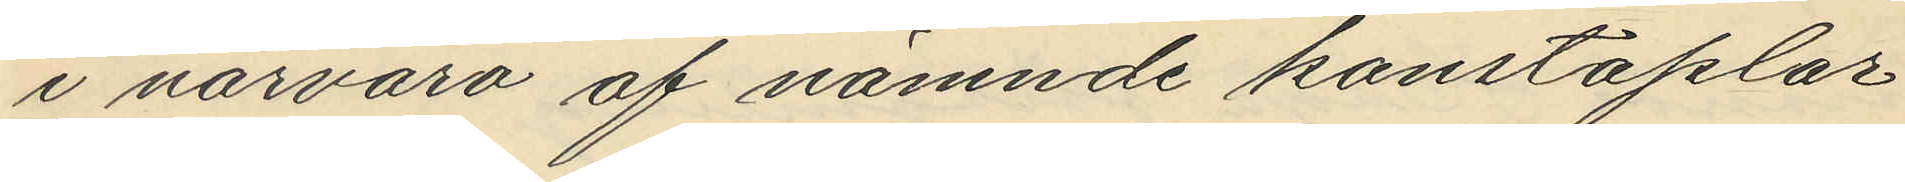i närvaro af nämnde konstaplar
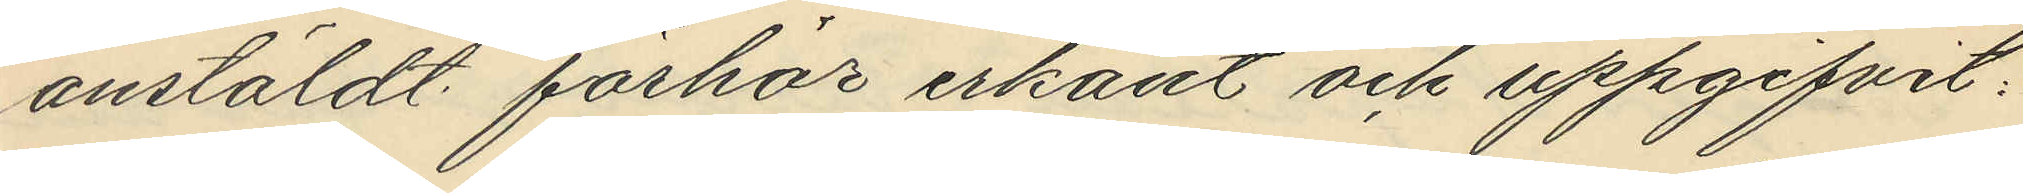anstäldt förhör erkänt och uppgifvit:
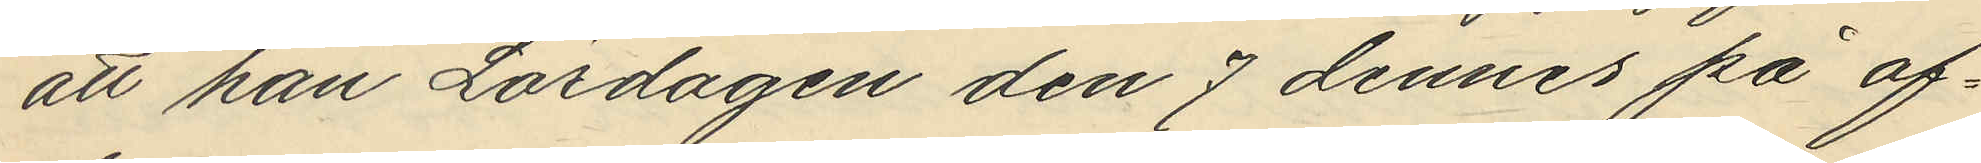att han Lördagen den 7 dennes på af¬
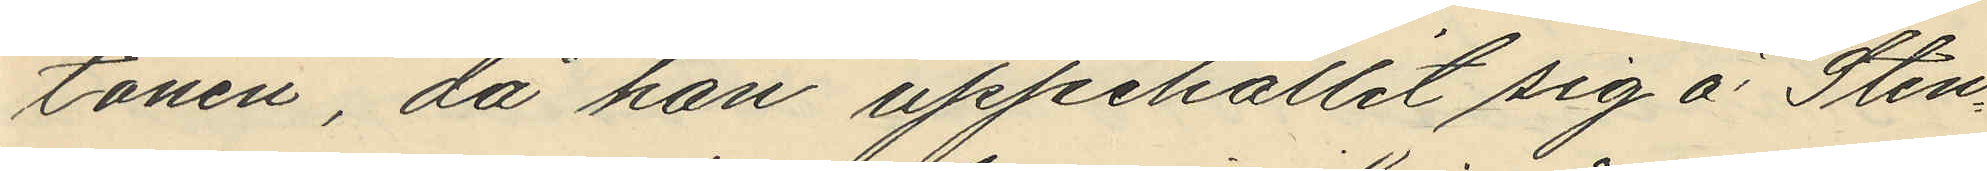tonen, då han uppehållit sig å Sten¬
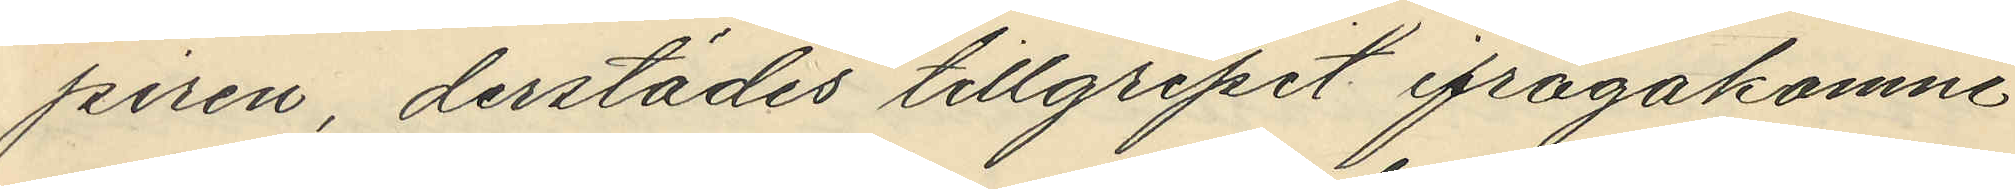piren, derstädes tillgripit ifrågakomne
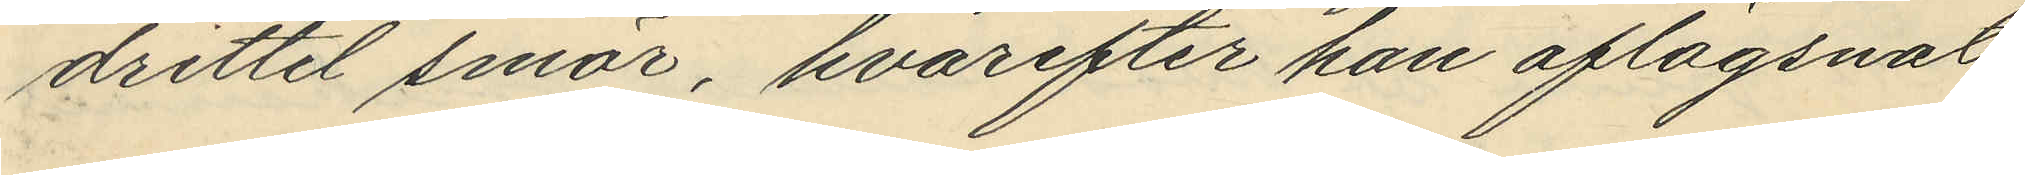drittel smör, hvarefter han aflägsnat
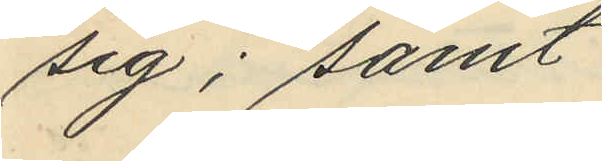sig; samt
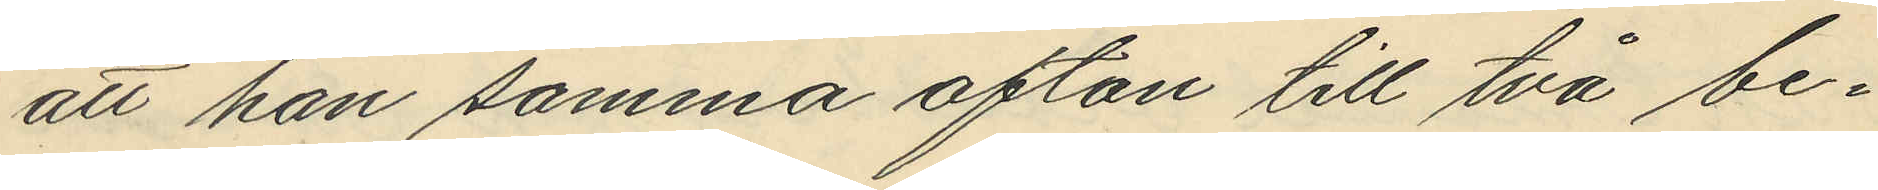att han samma afton till två be¬
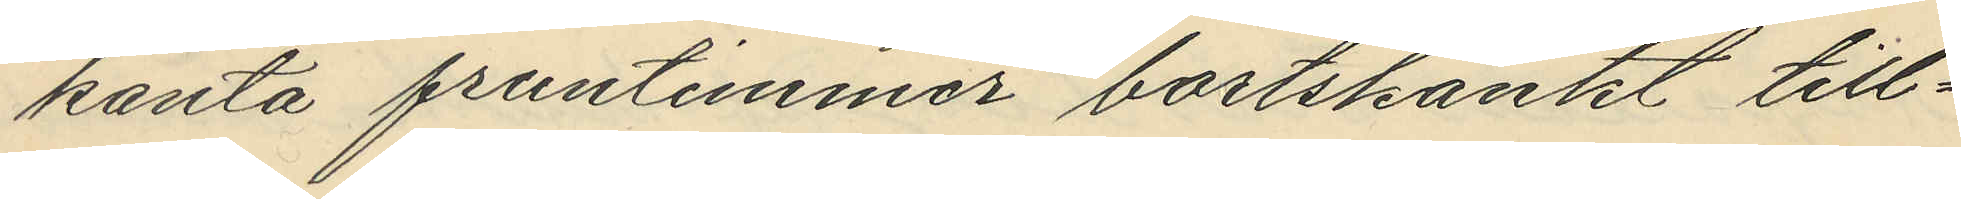kanta fruntimmer bortskänkt till¬
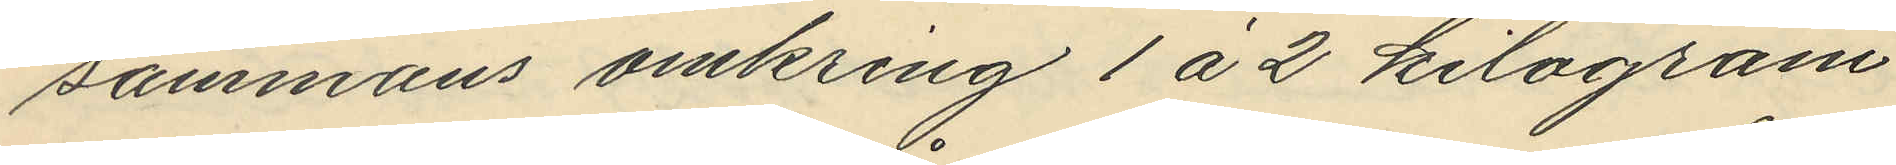sammans omkring 1 á 2 kilogram
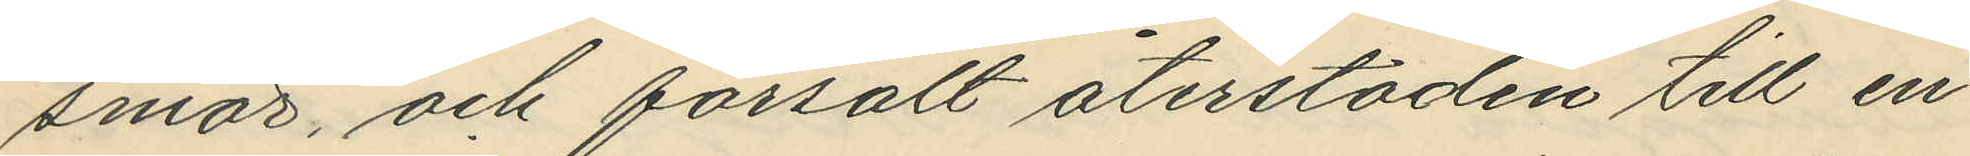smör och försålt återstoden till en
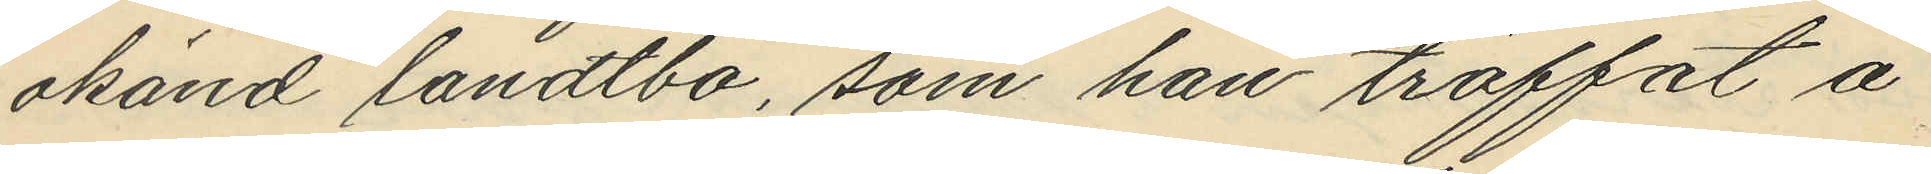okänd landtbo, som han träffat å
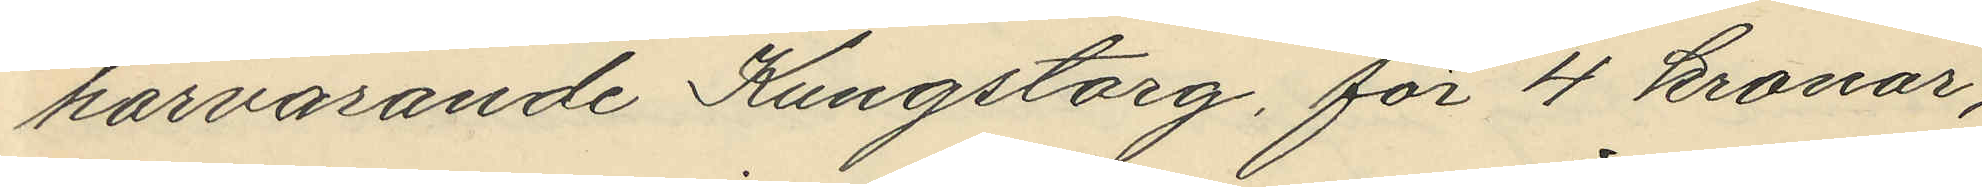härvarande Kungstorg, för 4 kronor,
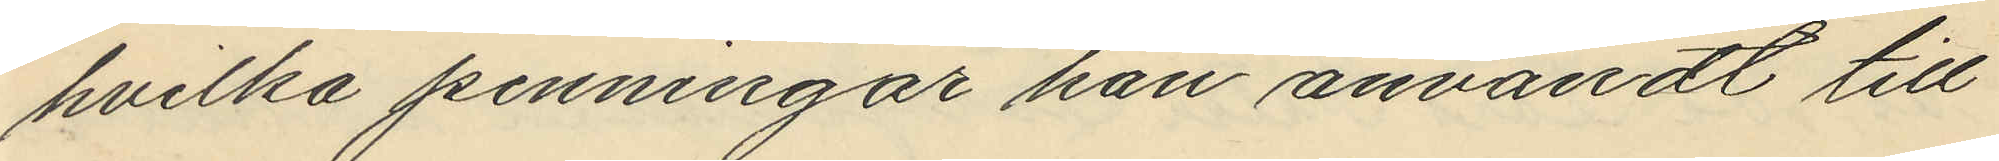hvilka penningar han användt till
